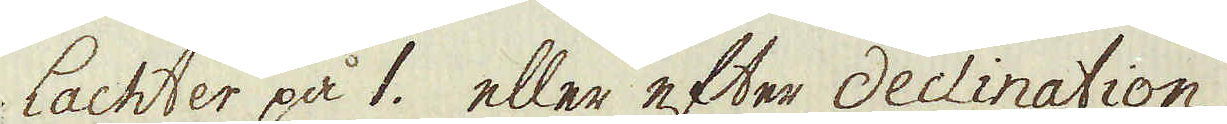lachter på 1. eller efter declination
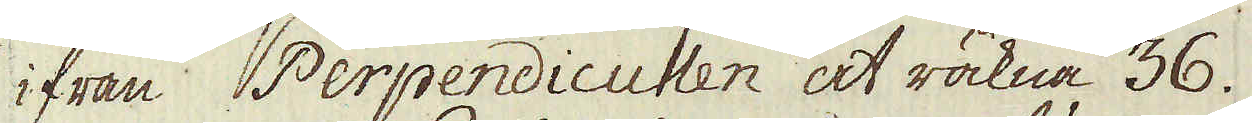ifrån Perpendiculen at räkna 36.
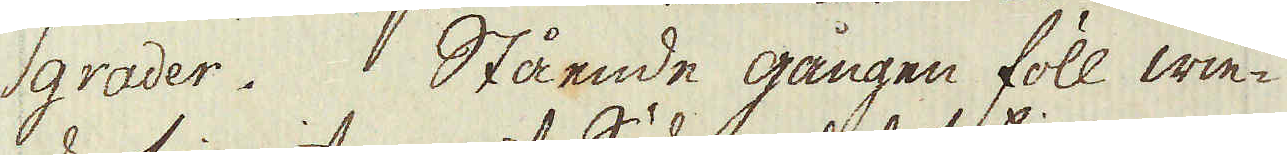grader. Stående gången föll win-
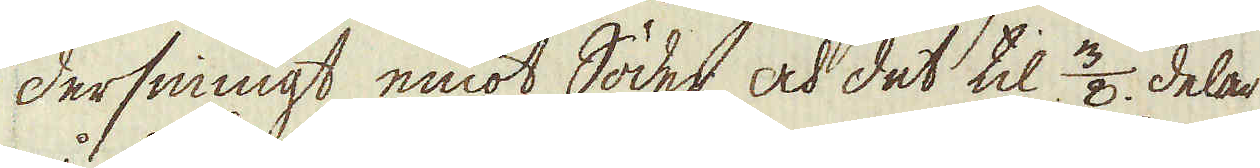dersinnigt emot Söder och det til 3/8 delar
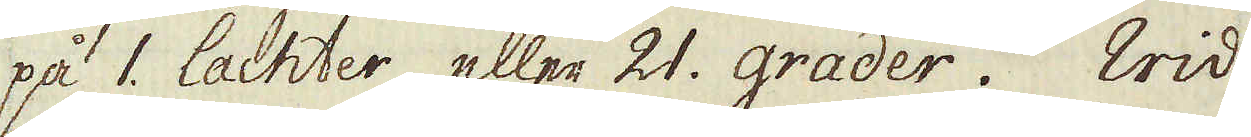på 1. lachter, eller 21. grader. Wid
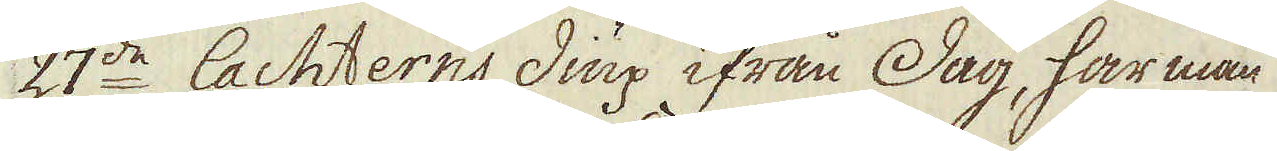27de lachterns diup ifrån Dag, har man
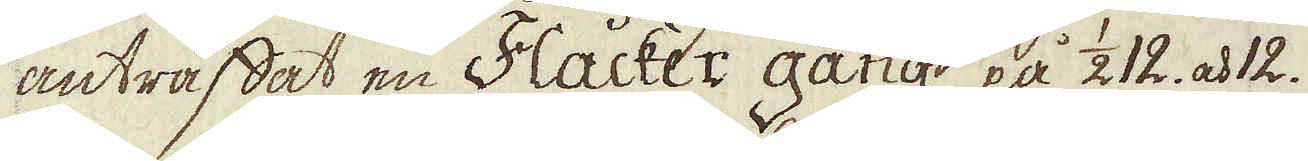anträffat en Flacker gång på 1/212. och 12.
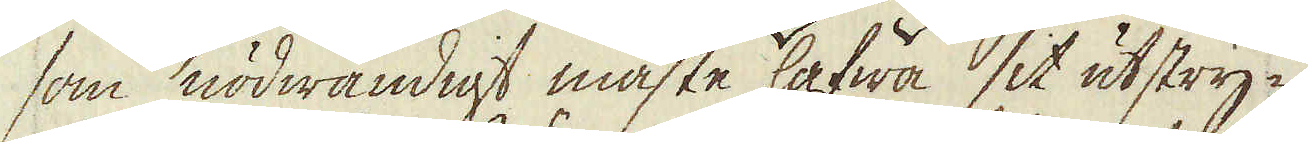som nödwändigt måste hafwa sit utstry-
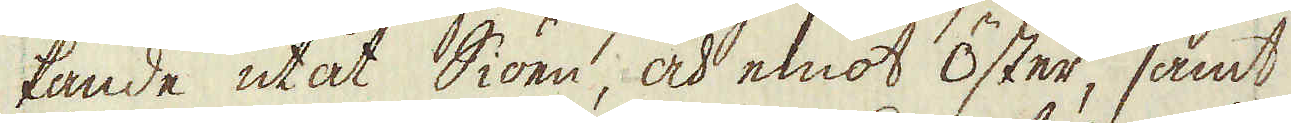kande utåt Siöen, och emot Öster, samt
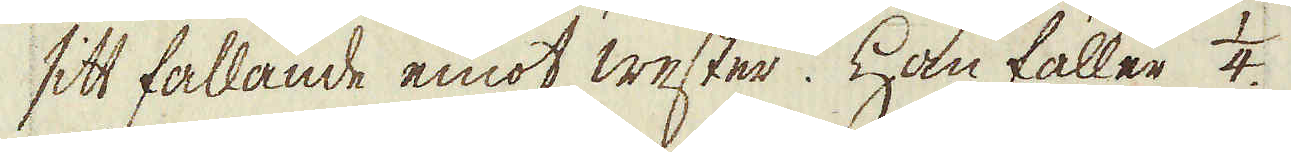sitt fallande emot wester. Han faller 1/4
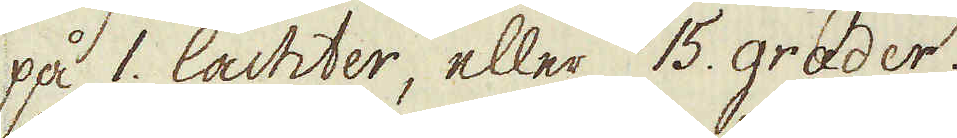på 1. lachter, eller 15. grader.
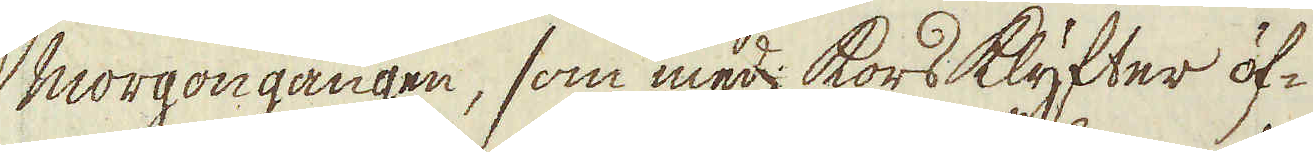Morgon gången, som med kors klyfter öf-
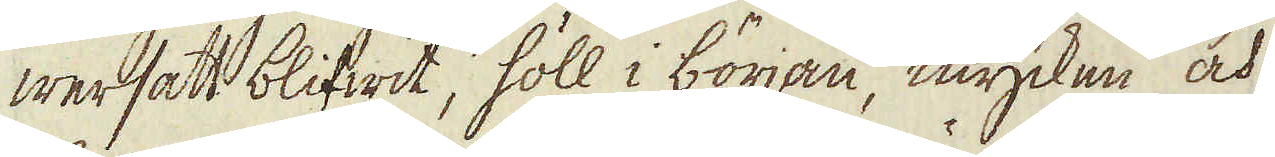wersatt blifwit, höll i början, mycken och
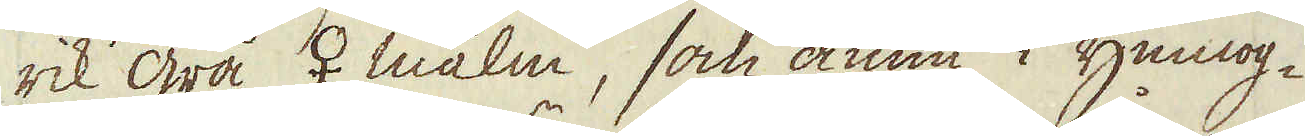rik grå ♀ malm, som ännu i ymnog-
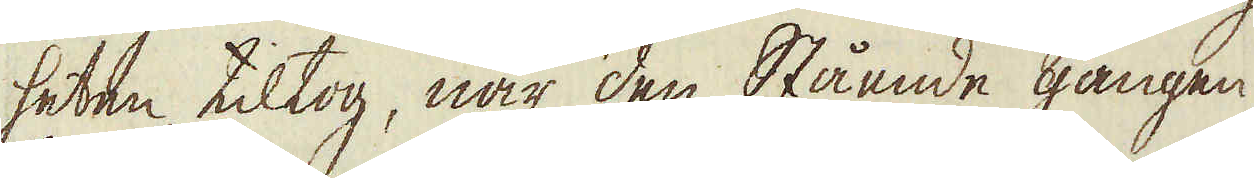heten tiltog, när den Stående gången
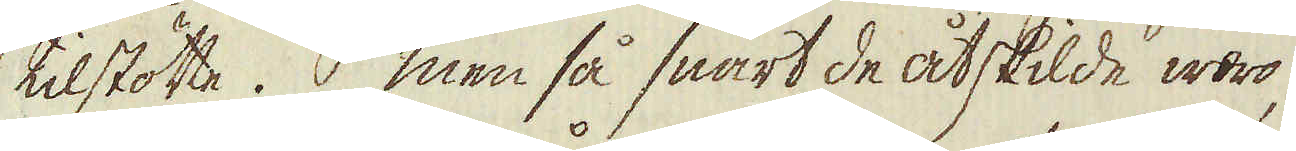tilstötte. Men så snart de åtskilde woro,
